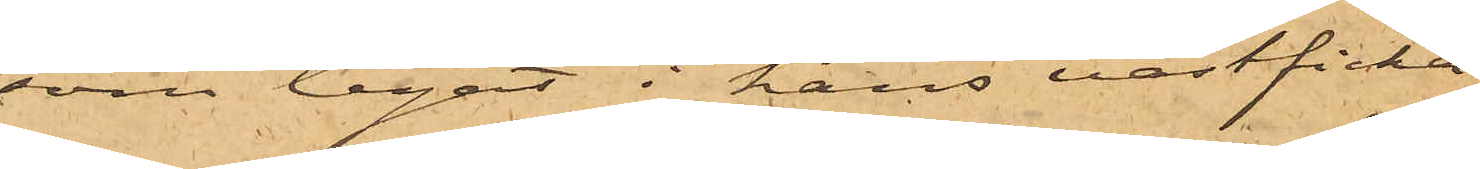som legat i hans västficka,
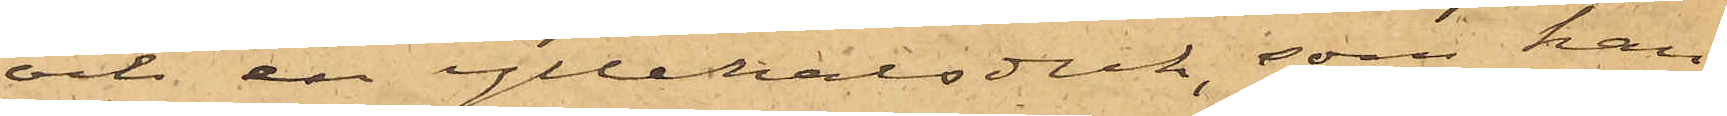och en yllehalsduk, som han
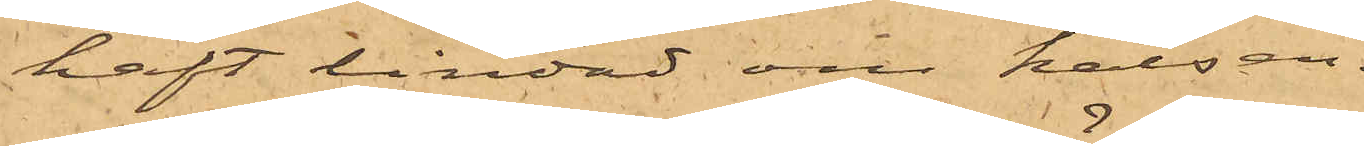haft lindad om halsen.
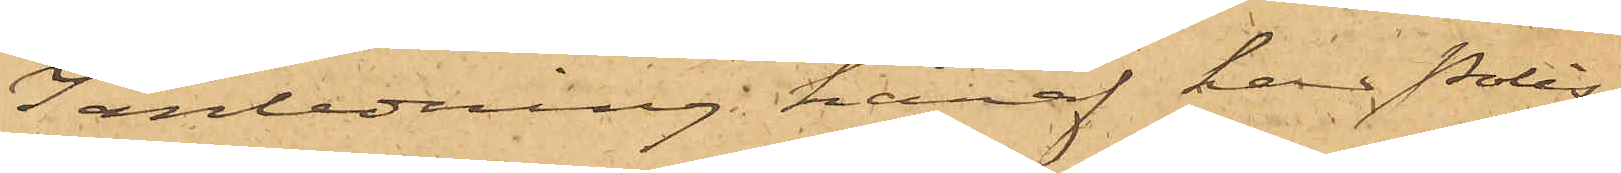I anledning häraf han Polis¬
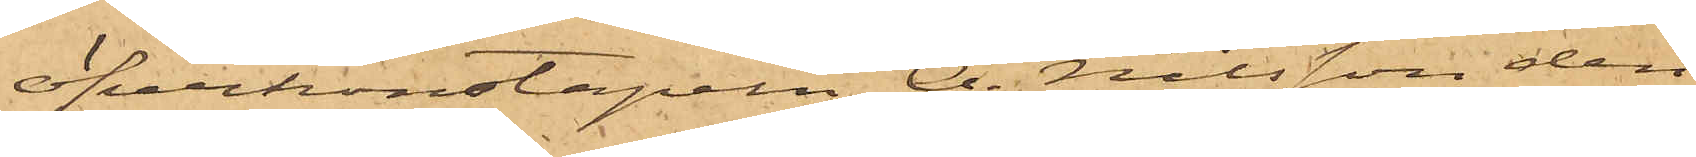öfverkonstapeln A. Nilsson den
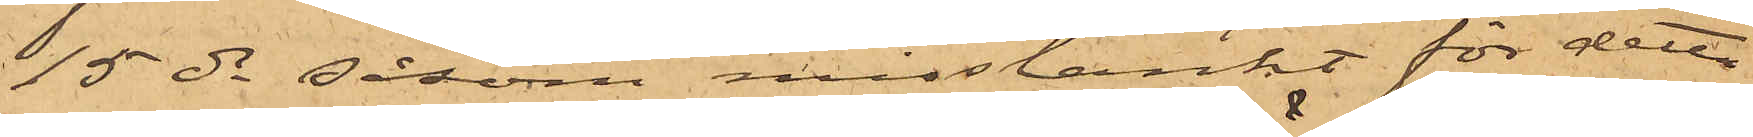15 ds såsom misstänkt för detta
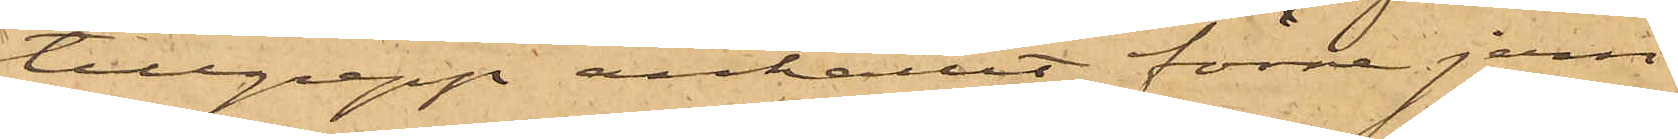tillgrepp anhållit förre jern¬
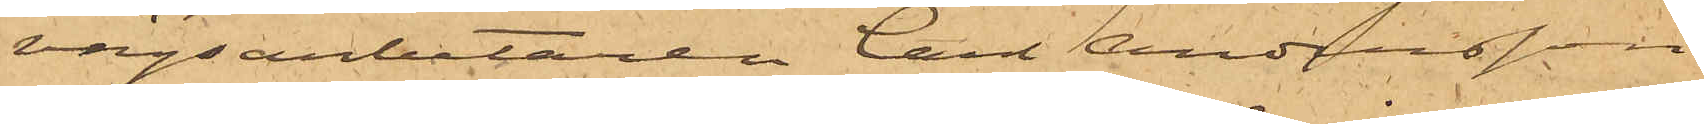vägsarbetaren Carl Andersson
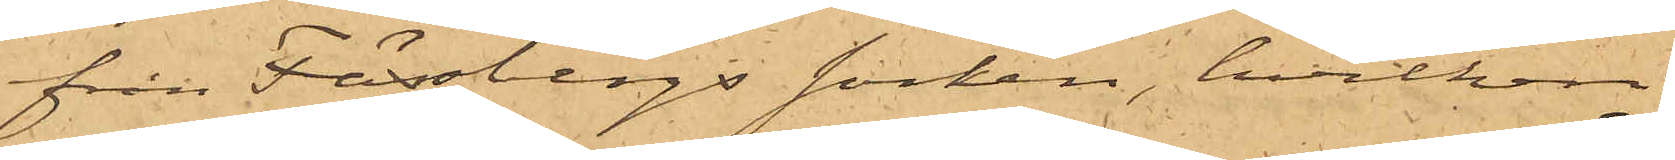från Fässbergs socken, hvilken
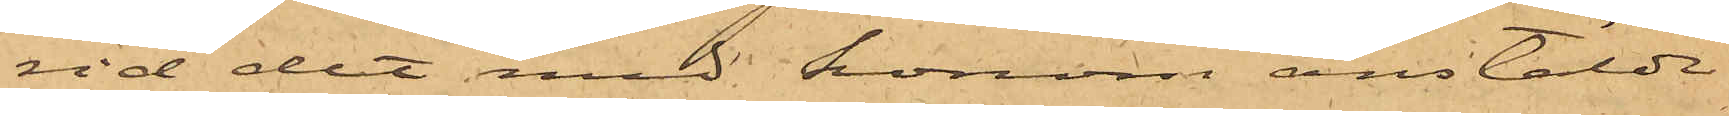vid det med honom anstälde
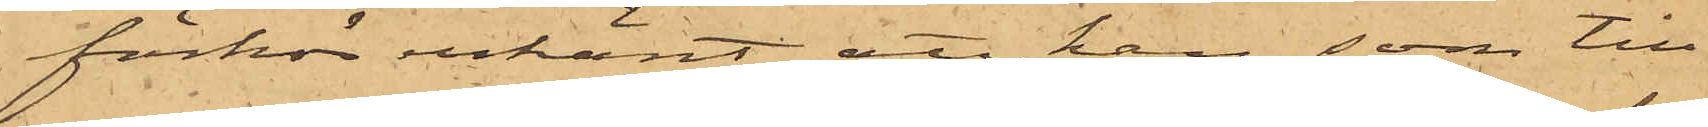förhör erkänt, att han, som till
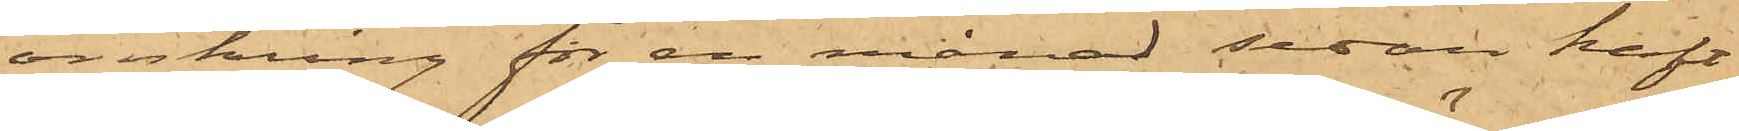omkring för en månad sedan haft
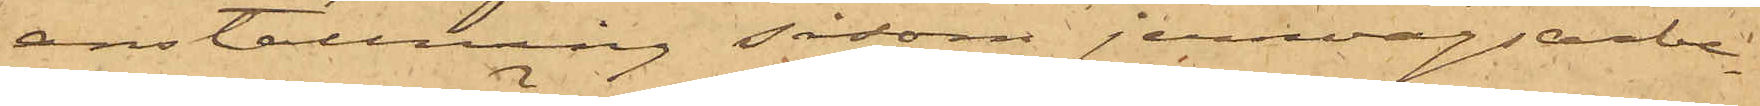anställning såsom jernvägsarbe¬
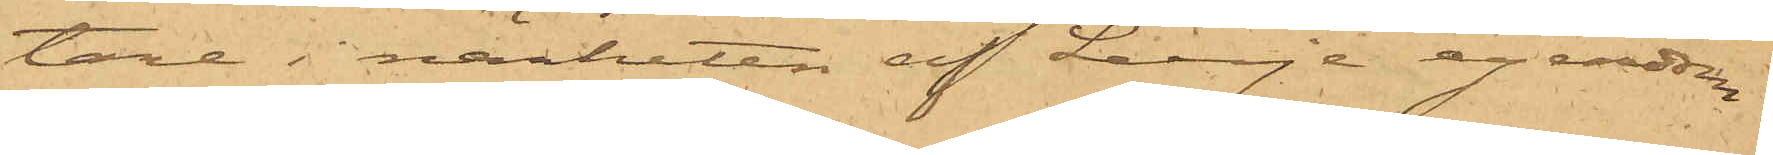tare i närheten af Lerje egendom
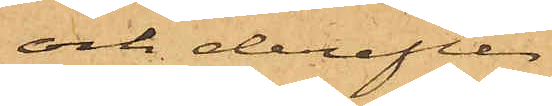och derefter
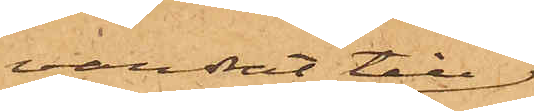vandrat till
